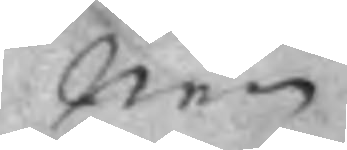nen
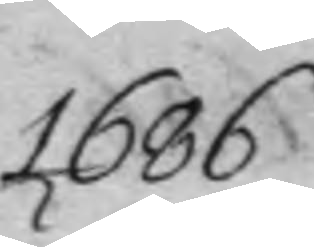1686
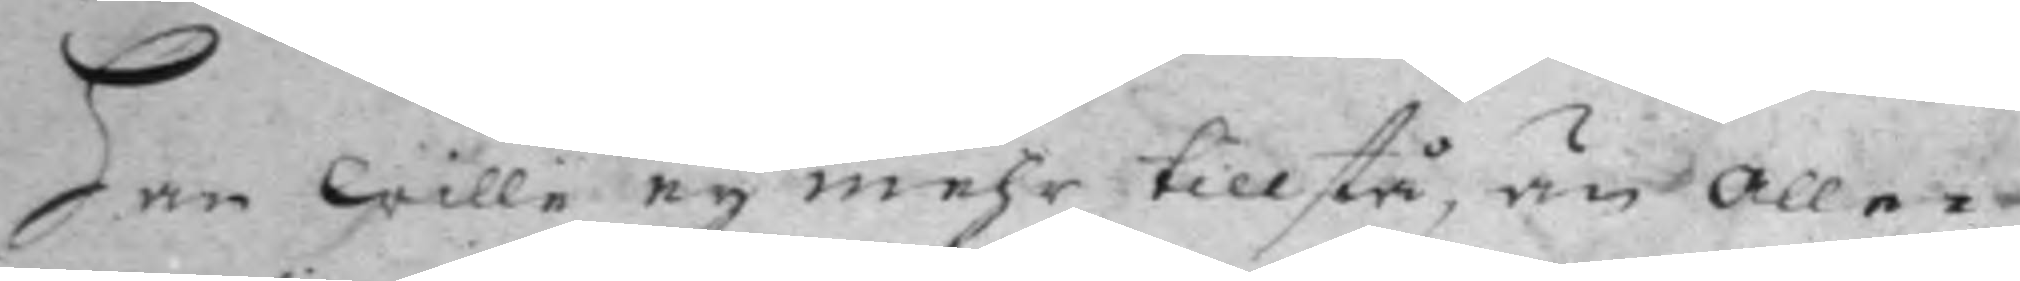han wille ey mehr tillstå, än alle¬
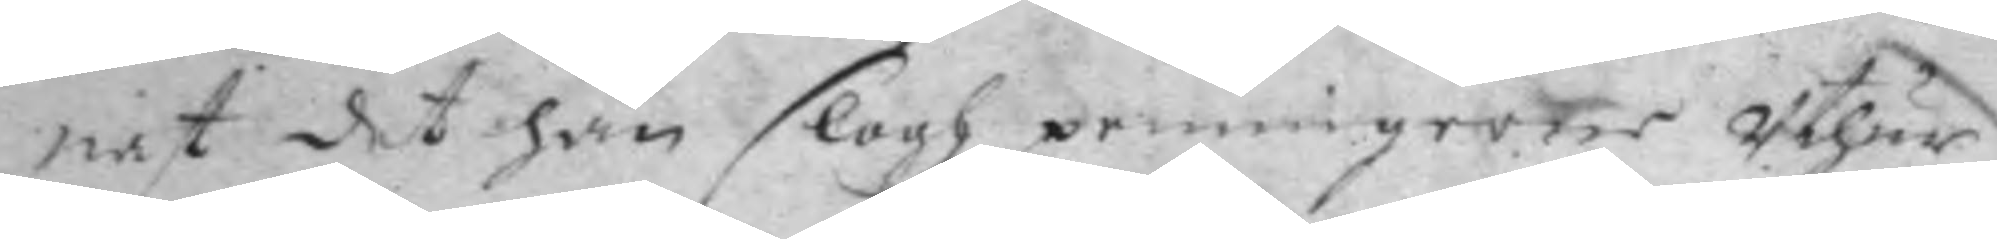nast det han slogh penningarne Uthur
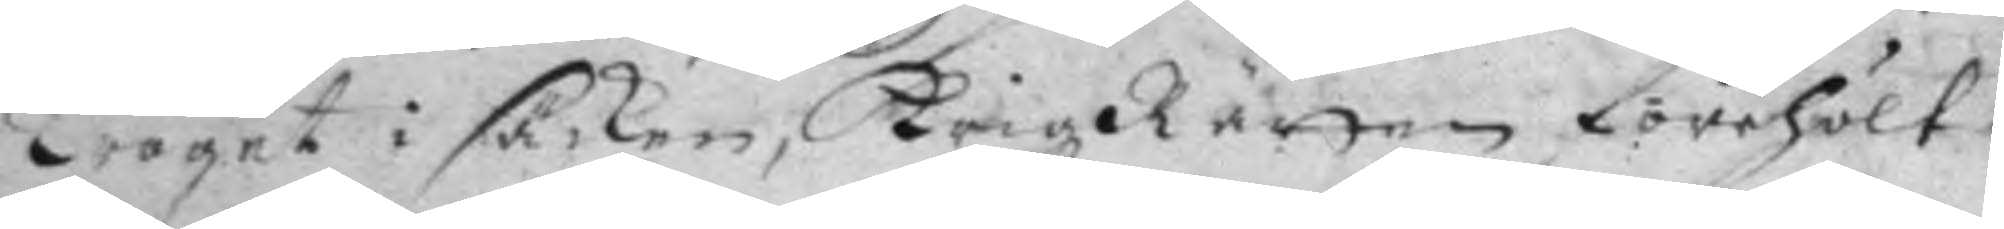Troget i säcken, KrigzRätten förehölt,
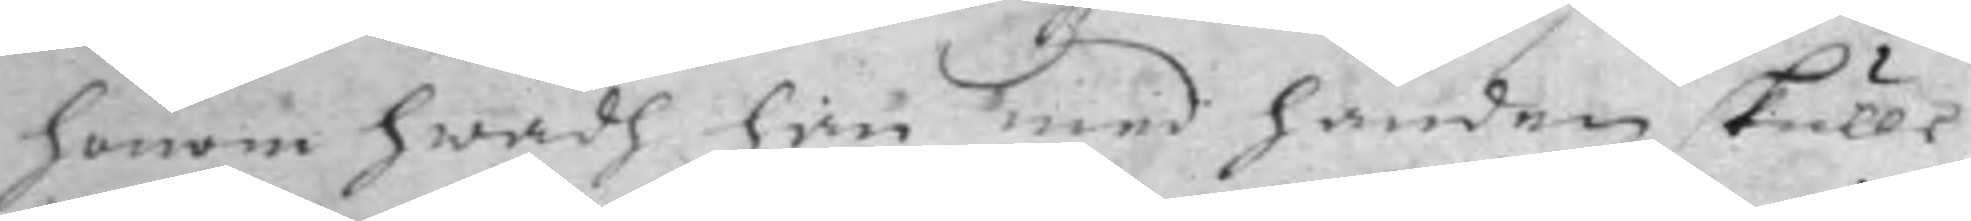honom hwadh han med handen skulle
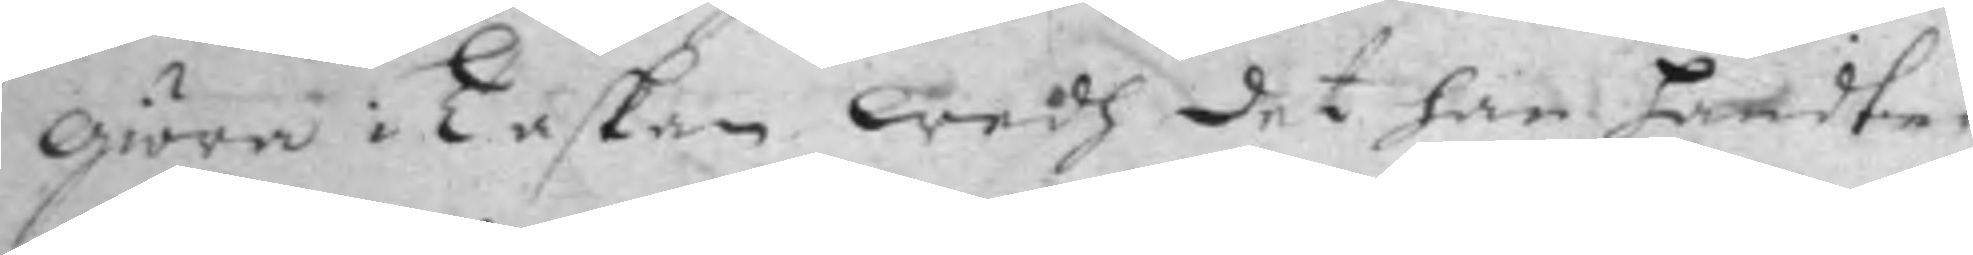giöra i Taskan, wedh det han handte¬
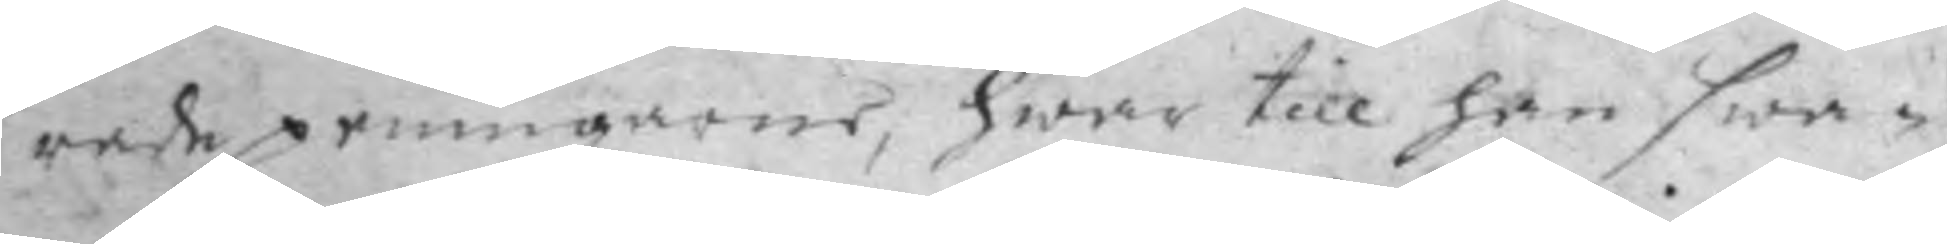rade penningarne, hwar till han swa¬
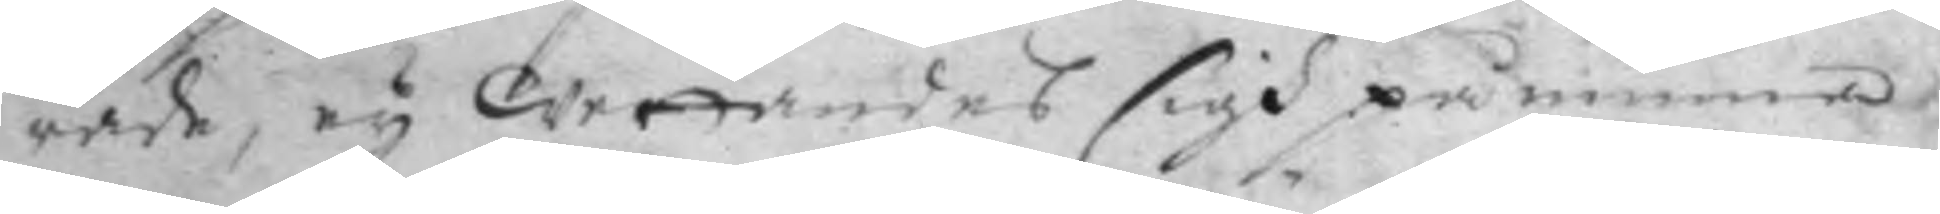rade, ey wettandes sigh påminnes
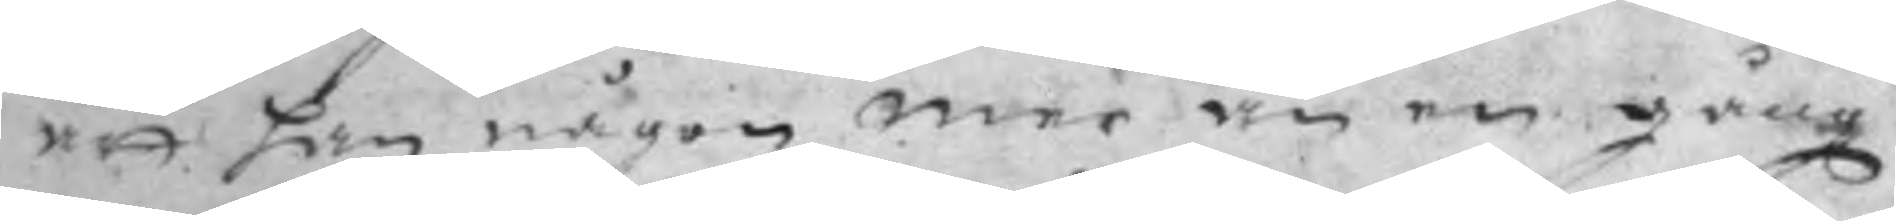att han någon mer än en gång
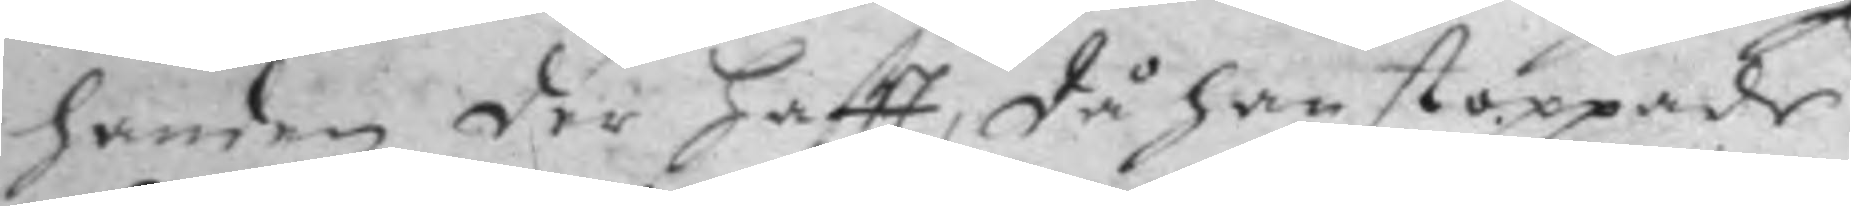handen der haftt, då han stoppade.
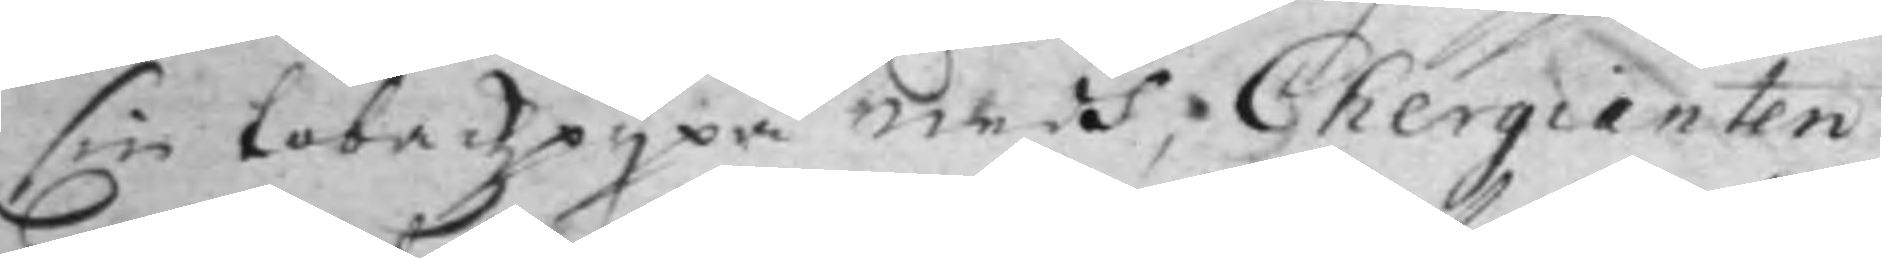sin tobackzpypa medh, Chergienten
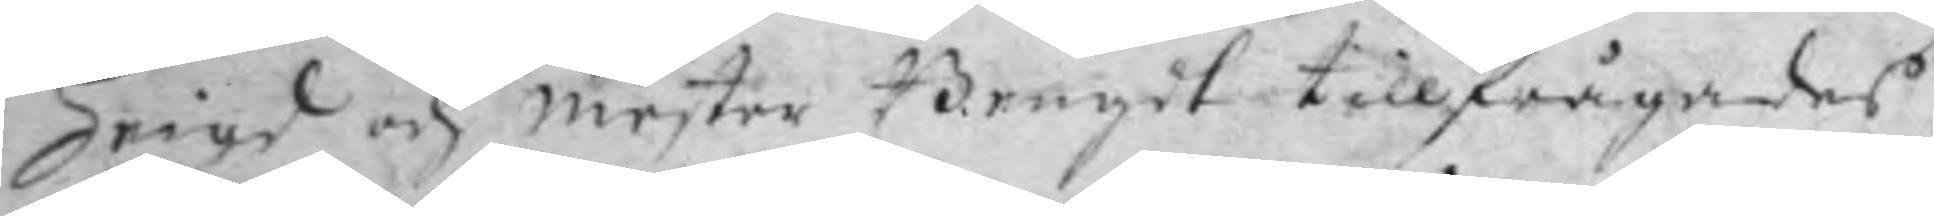Hrigd och mester Bengdt, tillfrågades
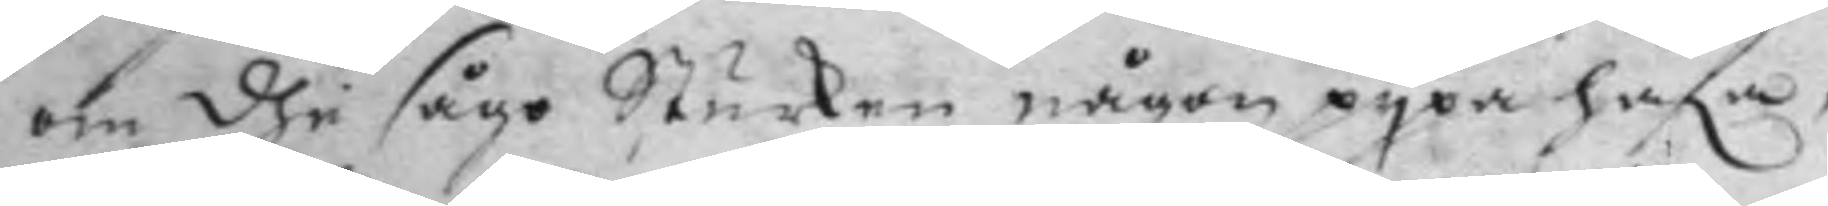om dhe sågo Sturken någon pypa hafa,
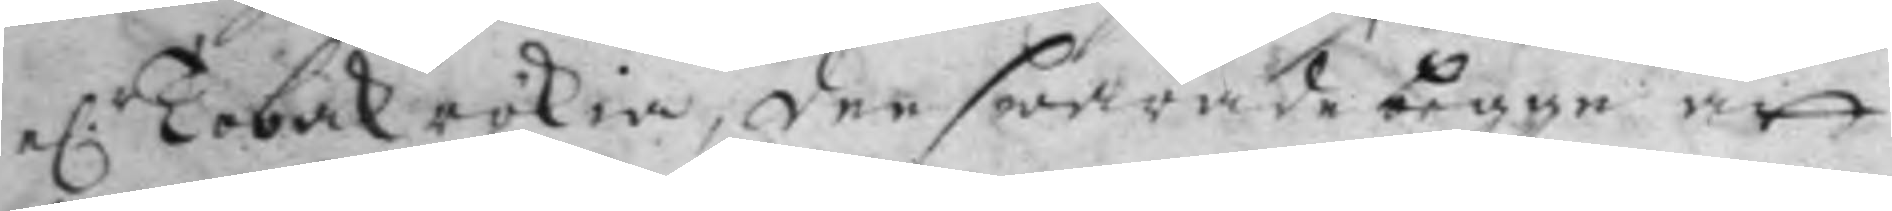e.r Tobak rökia, den swarade begge att
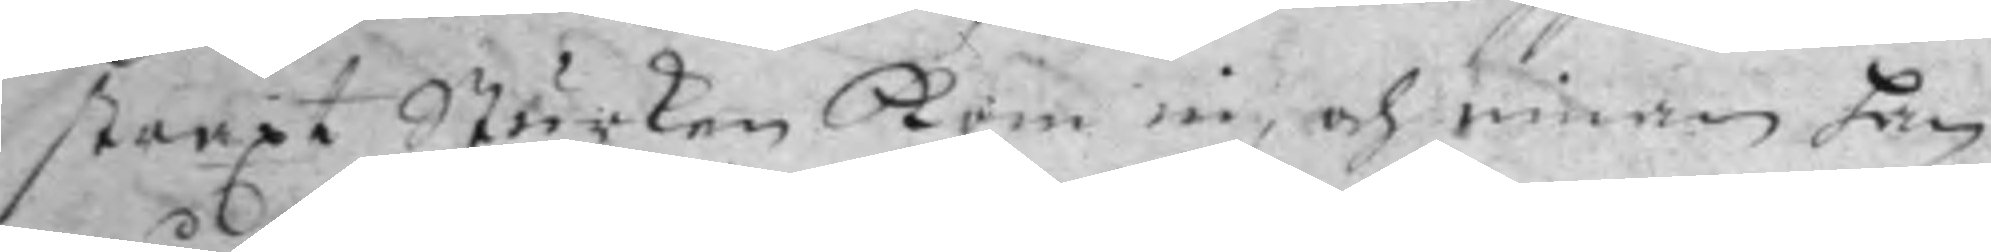straxt Stärken kom in, och innan han
